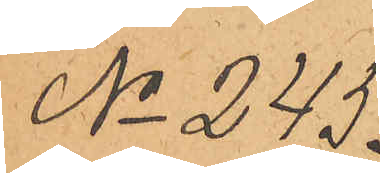No 245.
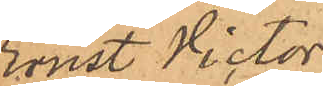Ernst Victor
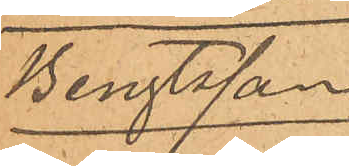Bengtsson
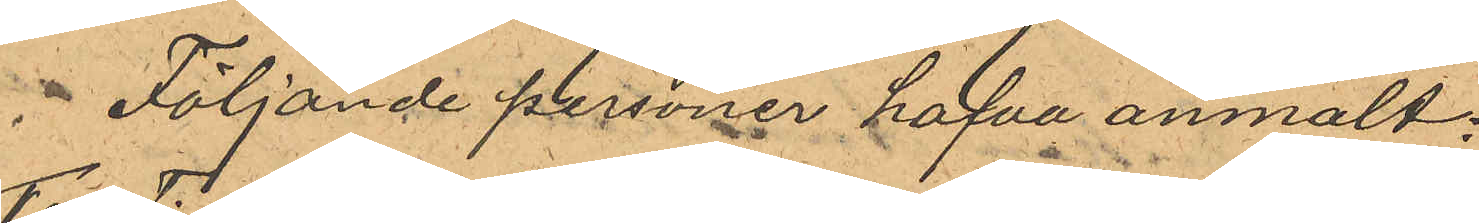Följande personer hafva anmält:
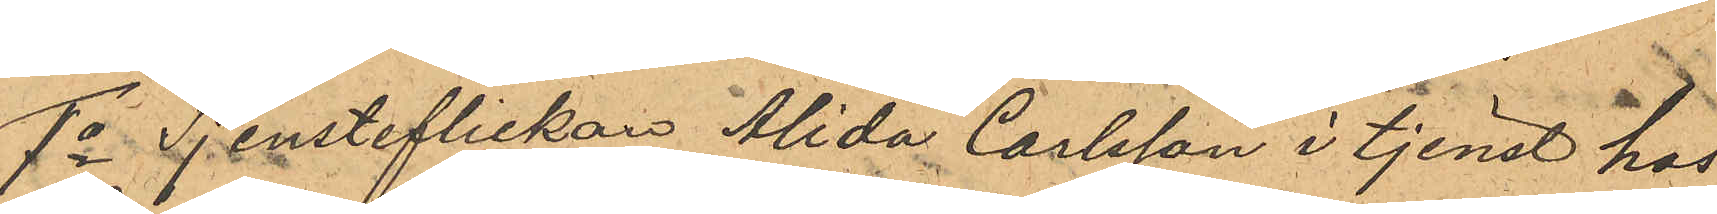1o Tjensteflickan Alida Carlsson i tjenst hos
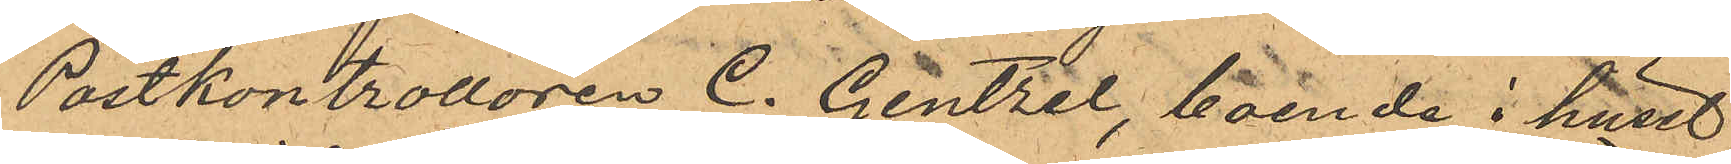Postkontrollören C. Gentzel, boende i huset
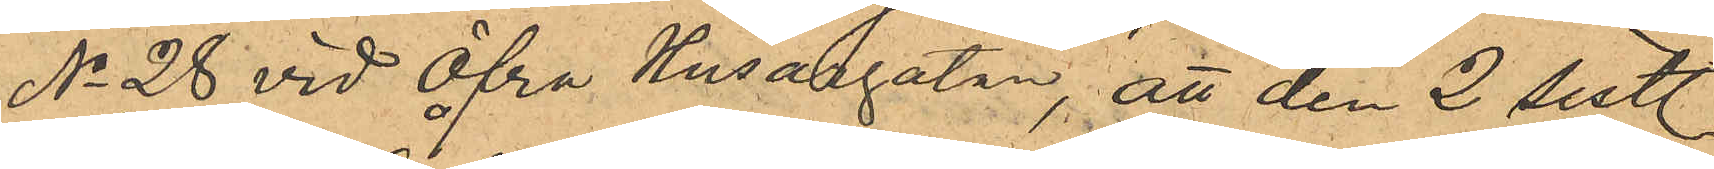No 28 vid Öfra Husargatan, att den 2 sistl.
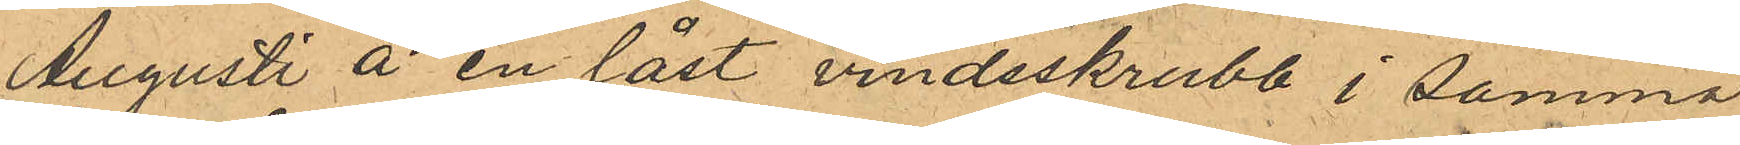Augusti å en låst vindsskrubb i samma
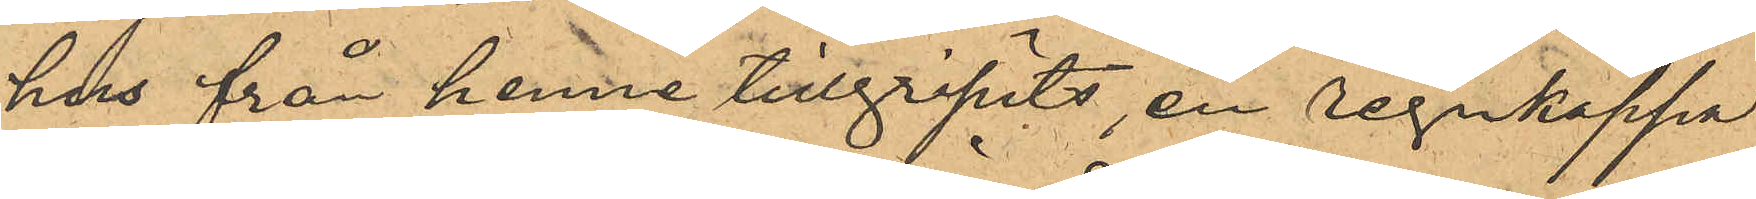hus från henne tillgripits, en regnkappa
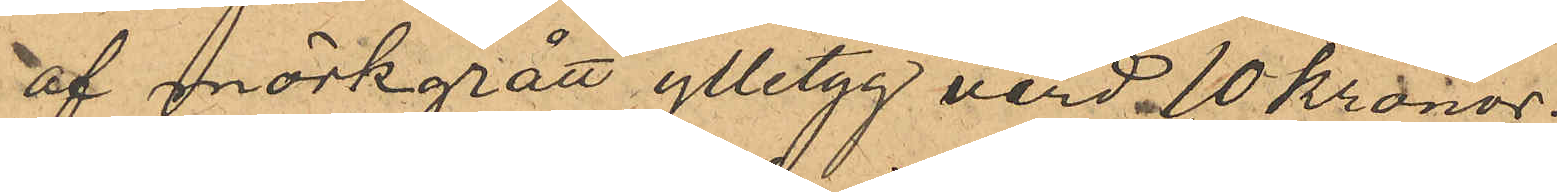af mörkgrått ylletyg värd 10 Kronor;
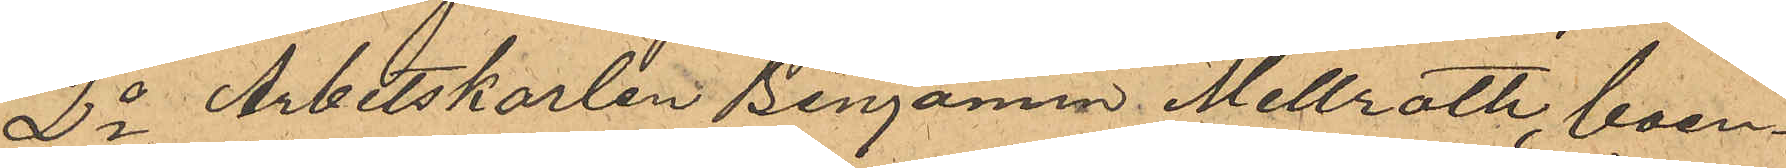2o Arbetskarlen Benjamin Mellroth, boen¬
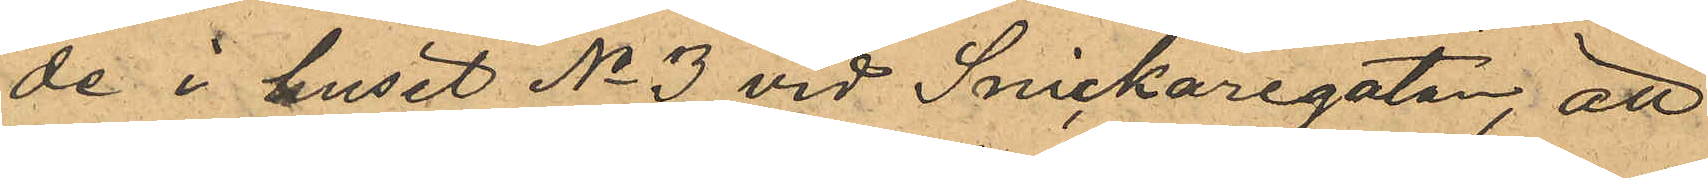de i huset No 3 vid Snickaregatan att
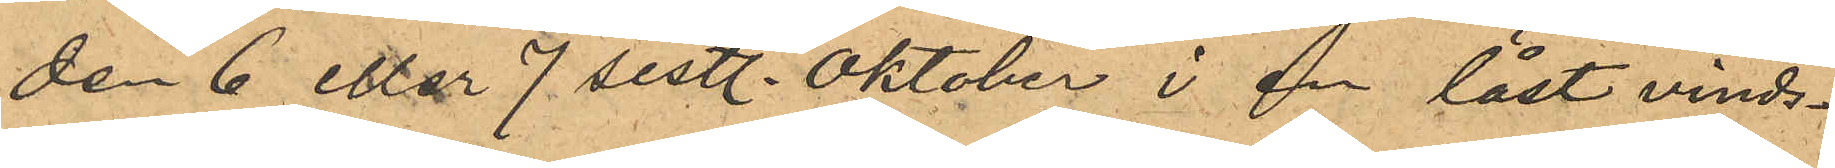den 6 eller 7 sistl. Oktober i en låst vinds¬
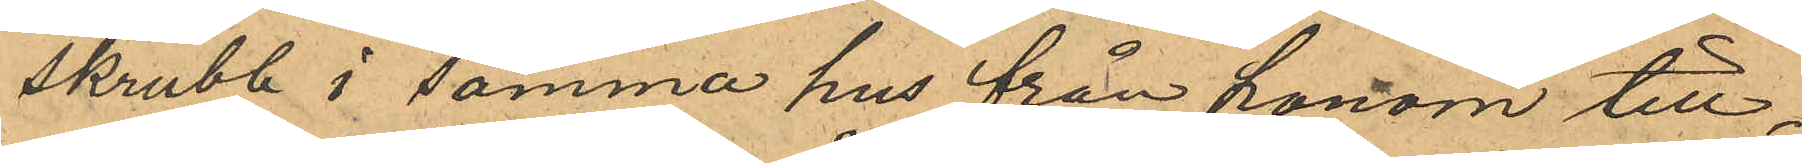skrubb i samma hus från honom till¬
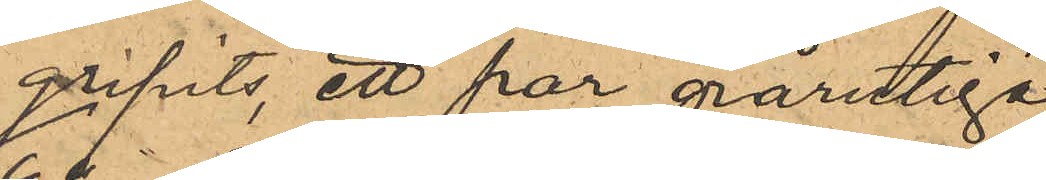gripits, ett par grårutiga
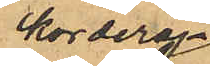korderoj¬
